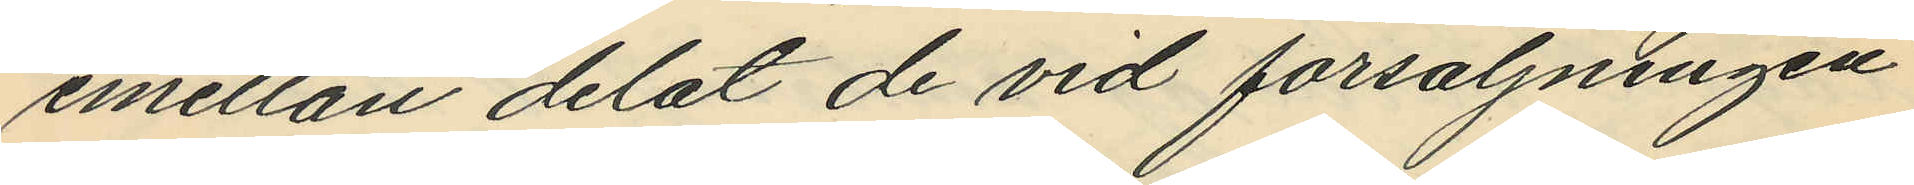emellan delat de vid försäljningen
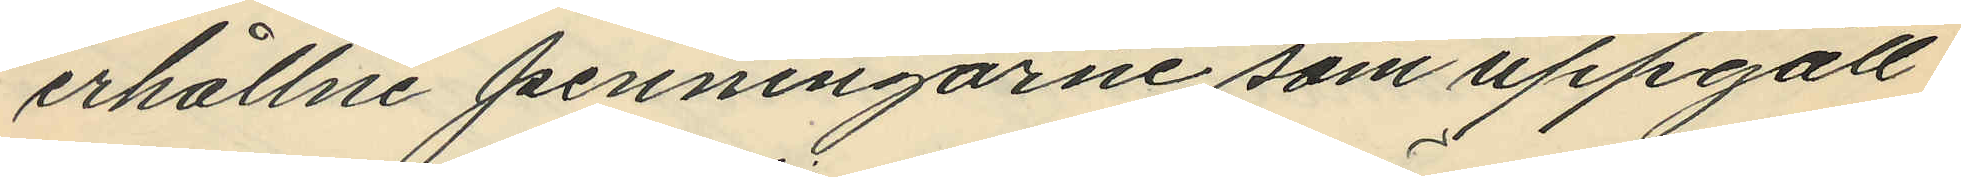erhållne penningarne som uppgått
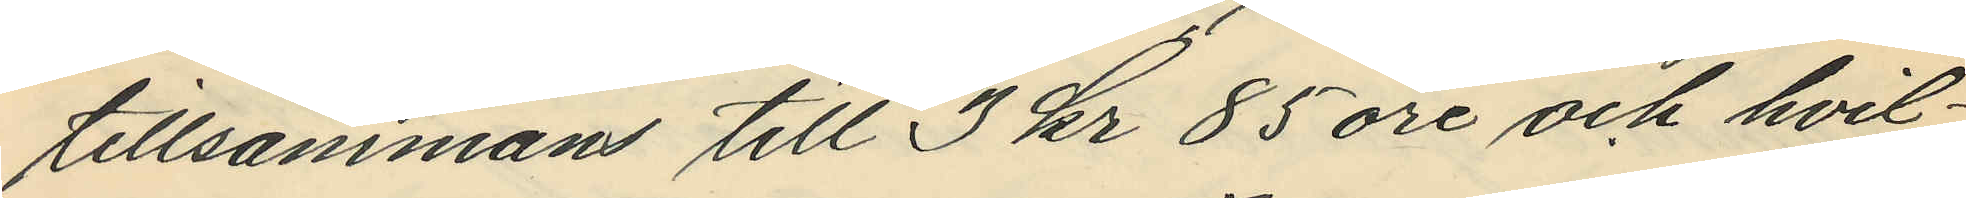tillsammans till 3 kr 85 öre och hvil¬
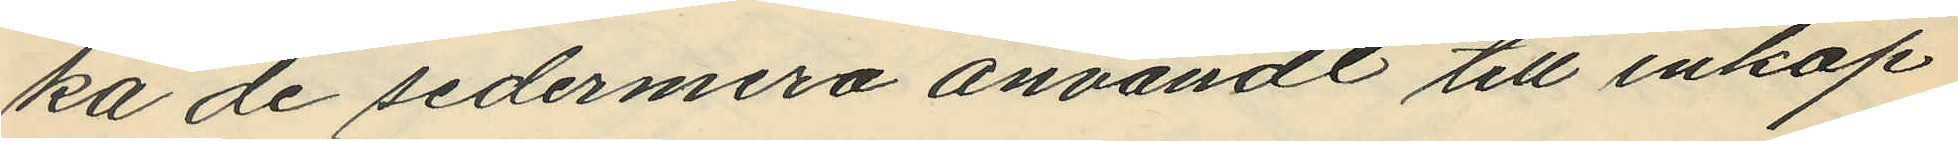ka de sedermera användt till inköp
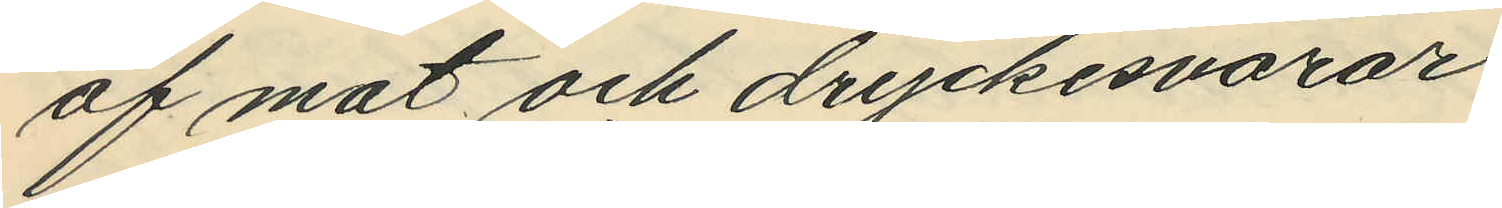af mat och dryckesvaror.
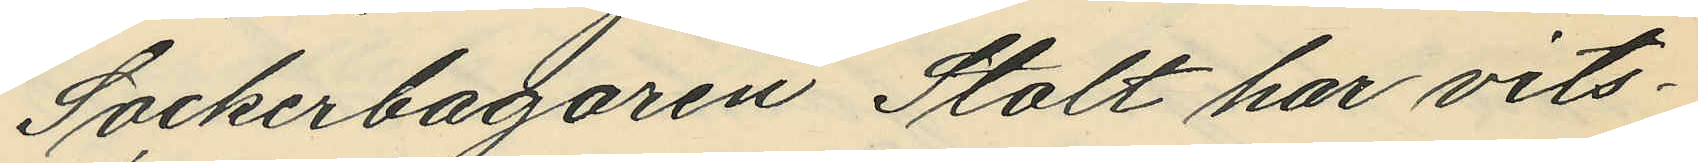Sockerbagaren Stolt har vits¬
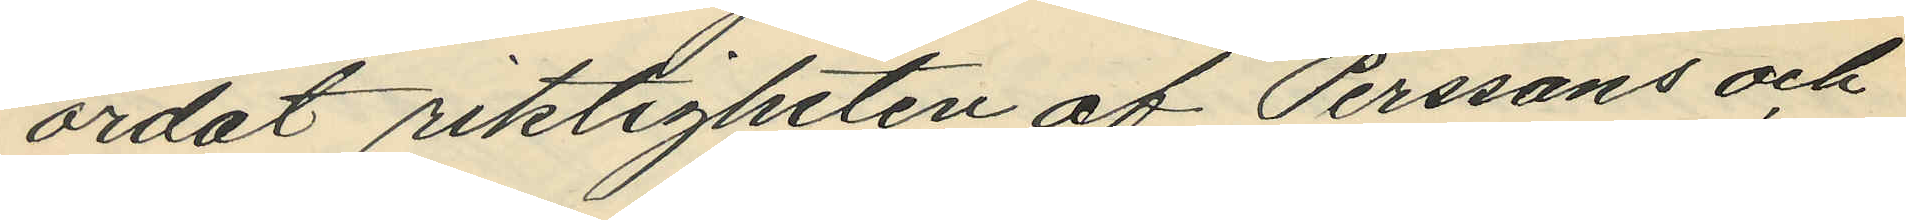ordat riktigheten af Perssons och
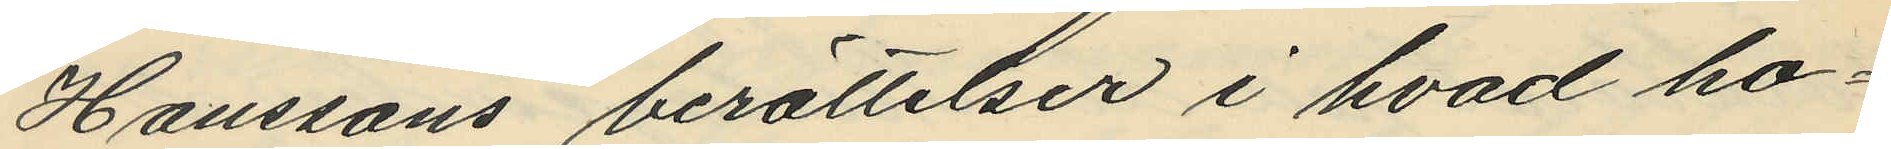Hanssons berättelser i hvad ho¬
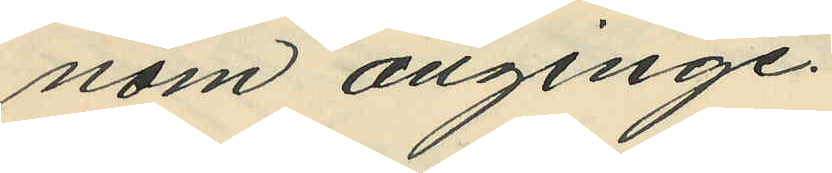nom anginge.
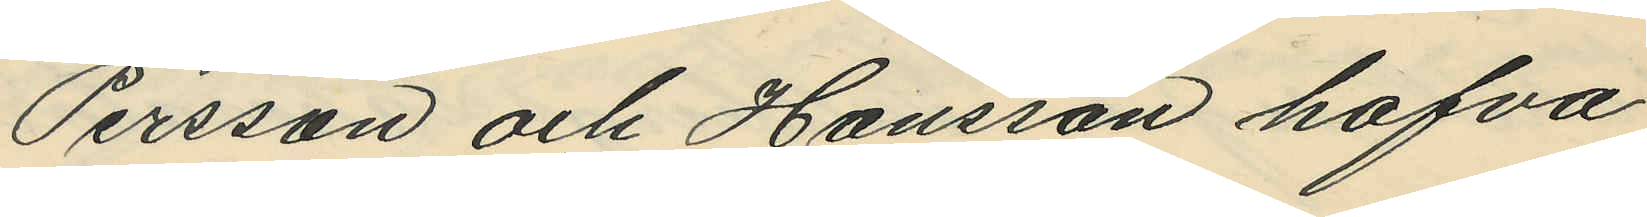Persson och Hanssan hafva
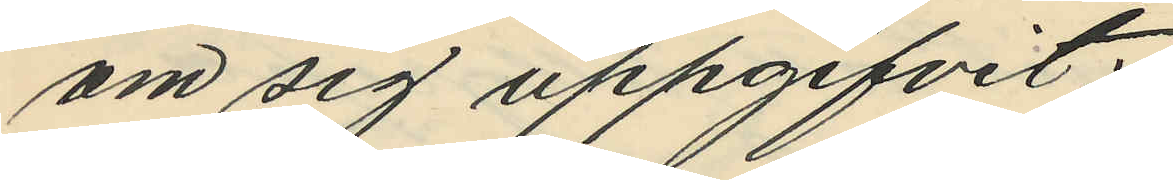om sig uppgifvit:
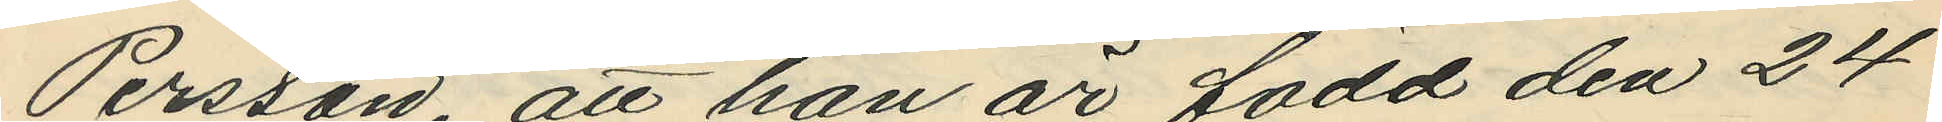Persson att han är född den 24
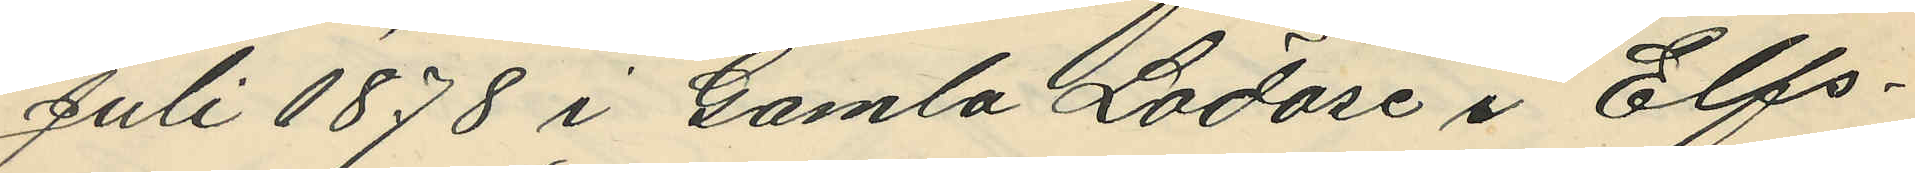Juli 1878 i Gamla Lödöse i Elfs¬
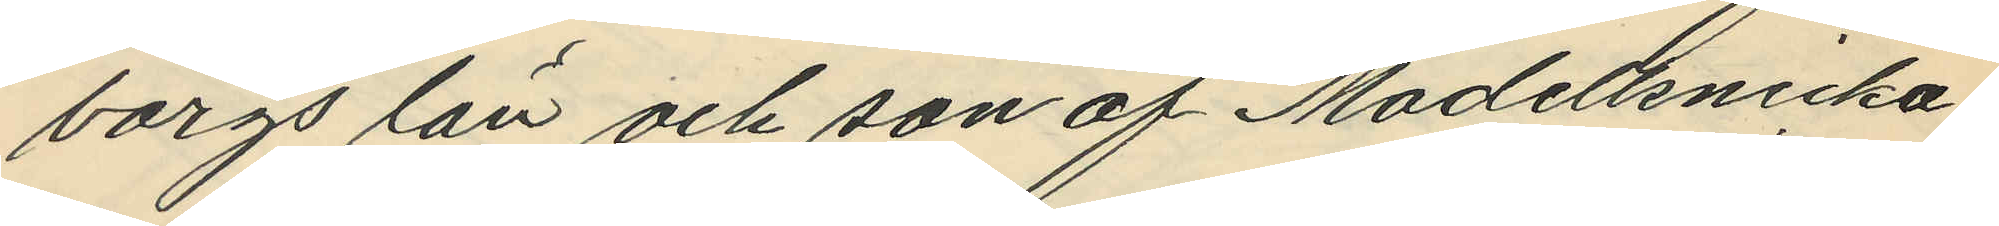borgs län och son af Modellsnicka¬
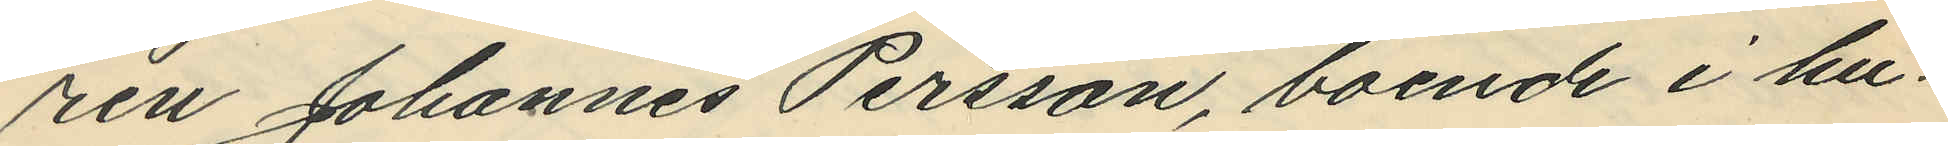ren Johannes Persson, boende i hu¬
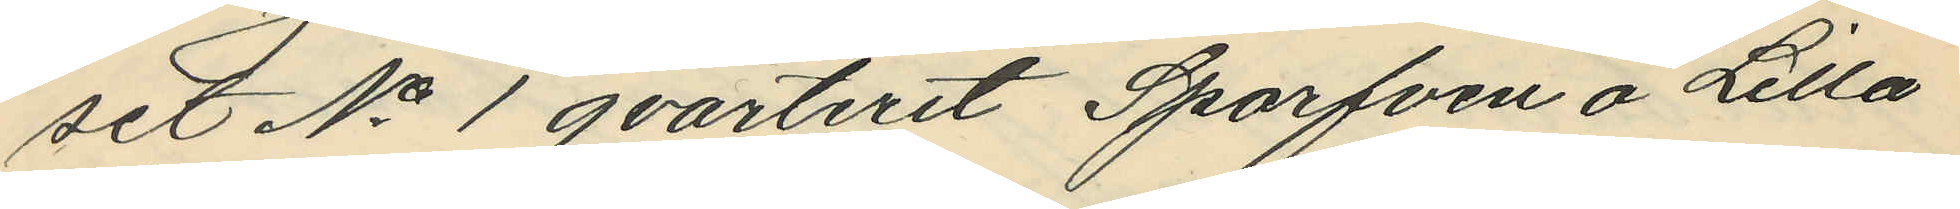set No 1 qvarteret Sparfven å Lilla
